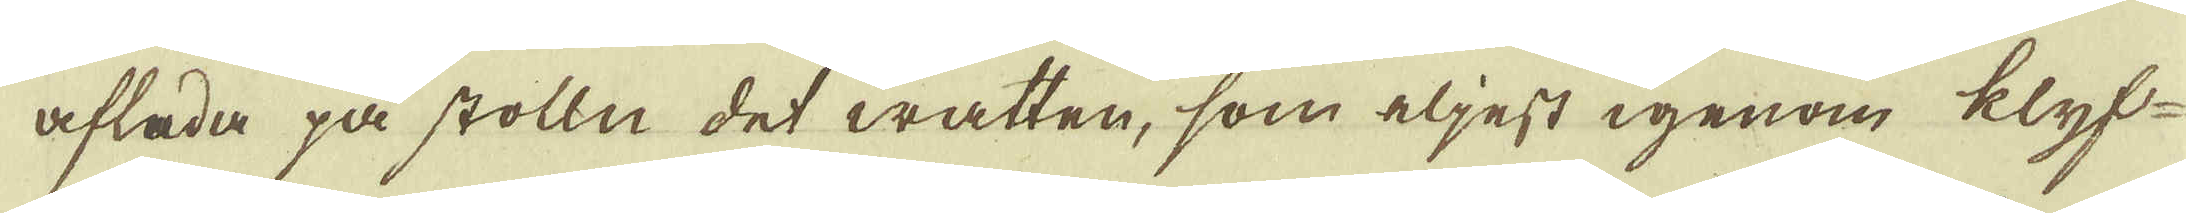afleda på stolln det watten, som eljest igenom klyf-
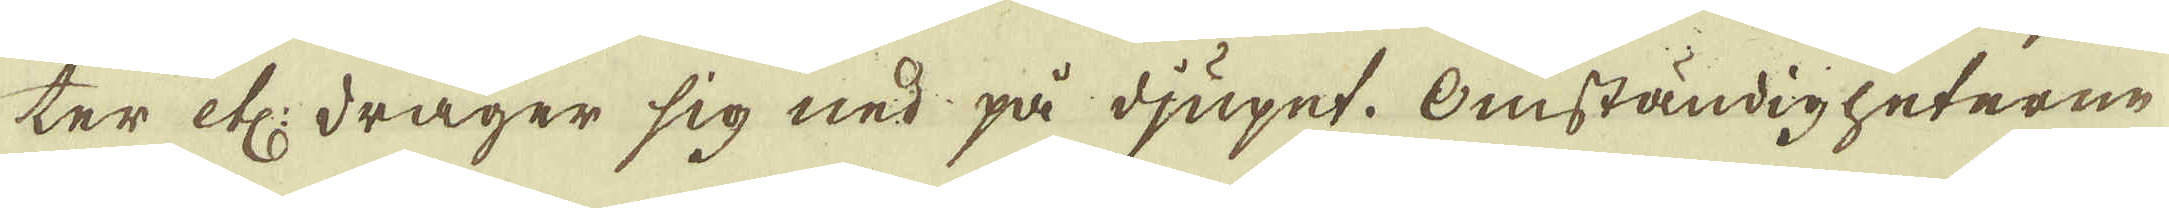ter etc: drager sig ned på djupet. Omständigheterne
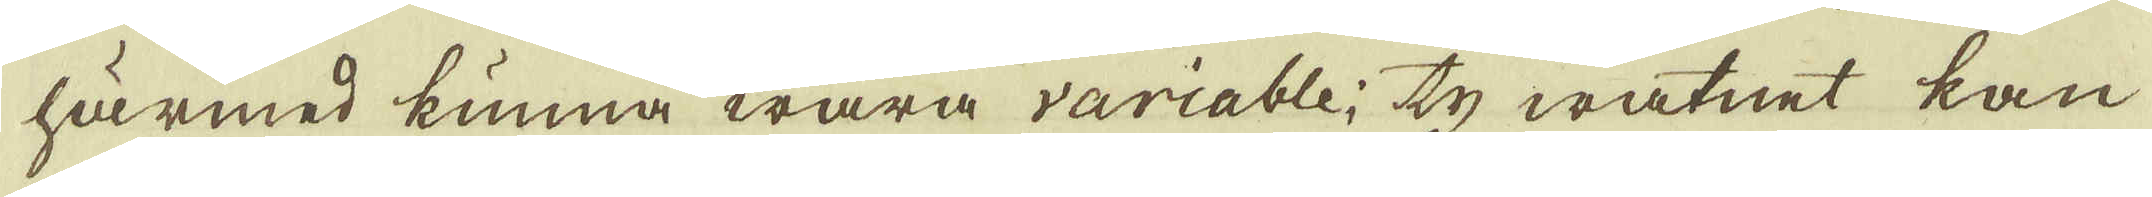härmed kunna wara variable; ty watnet kan
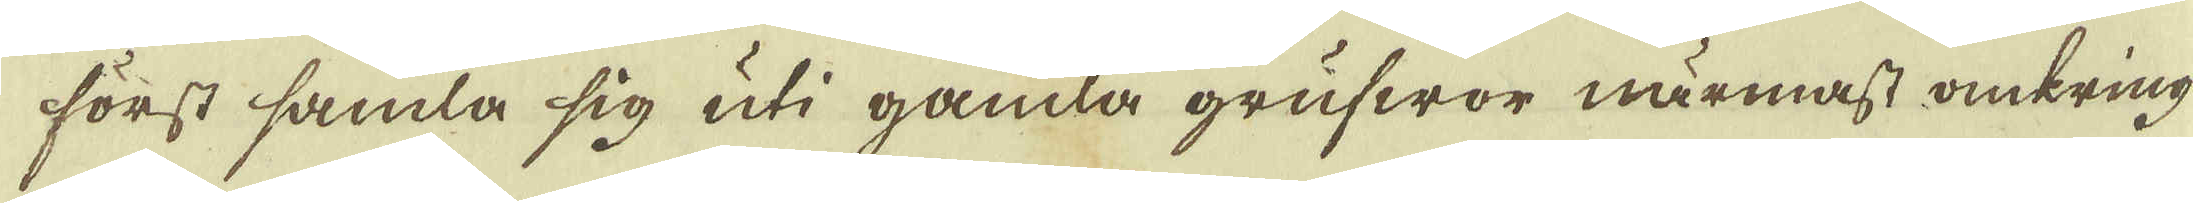först samla sig uti gamla grufwor närmast omkring
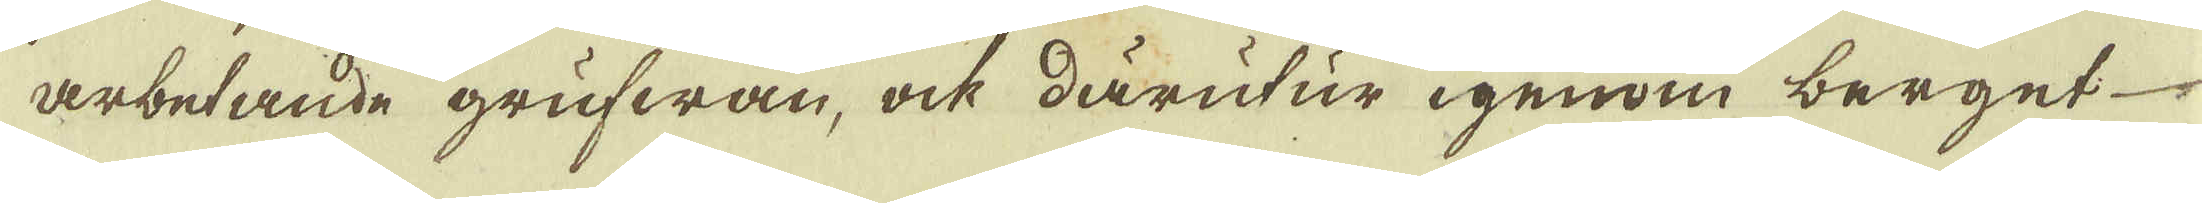arbetande grufwan, ock därutur igenom berget
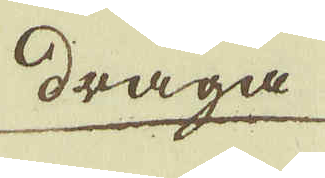draga
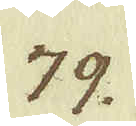79.
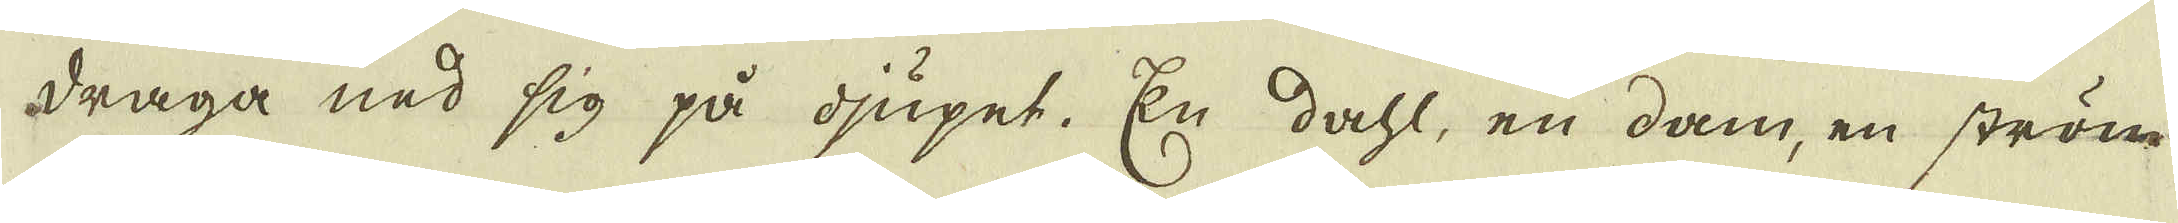draga ned sig på djupet. En dahl, en dam, en ström
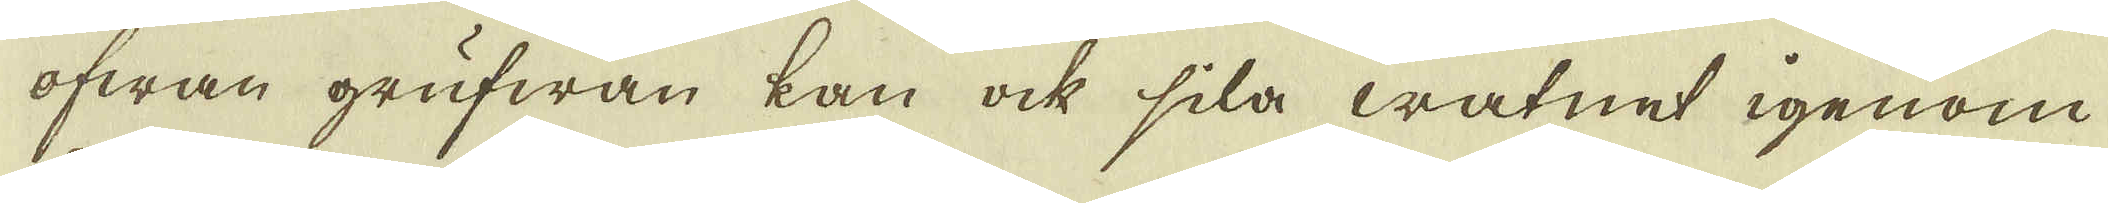ofwan grufwan kan ock sila watnet igenom
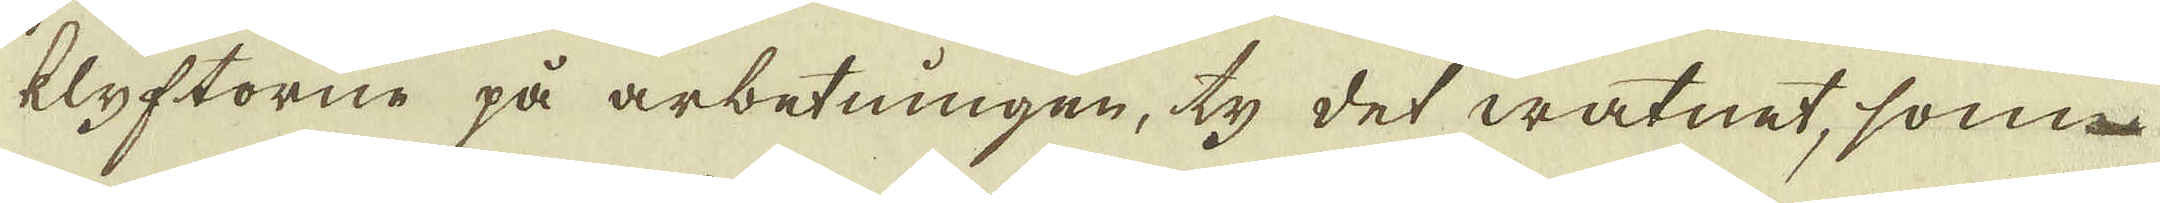klyftorne på arbetningen, ty det watnet, som
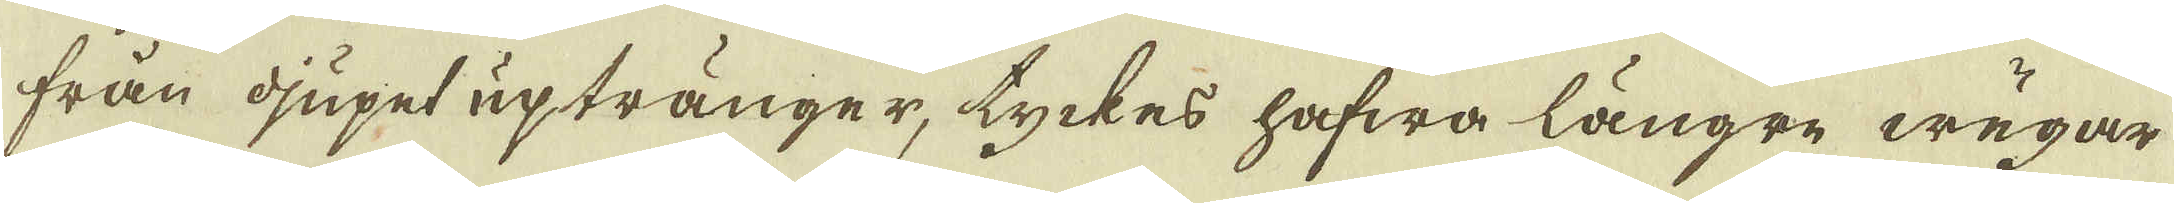från djupet uptränger, tyckes hafwa längre wägar
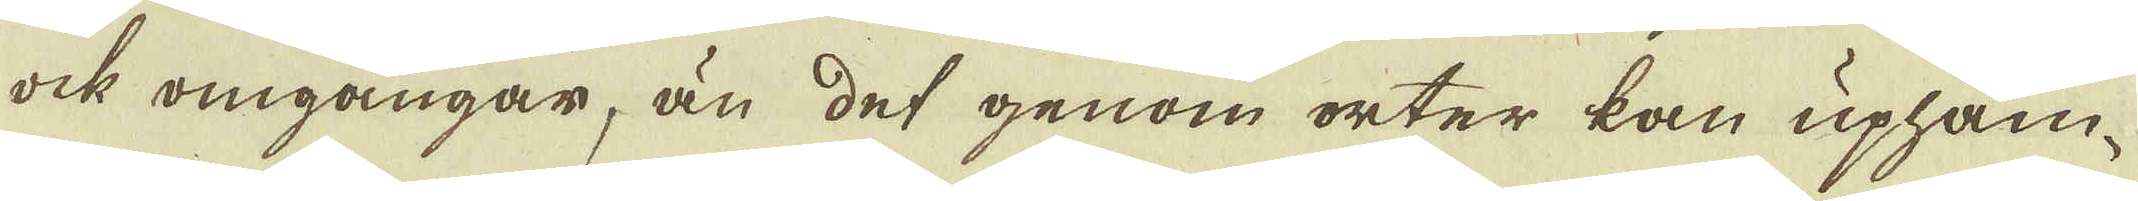ock omgångar, än det genom orter kan uphäm-
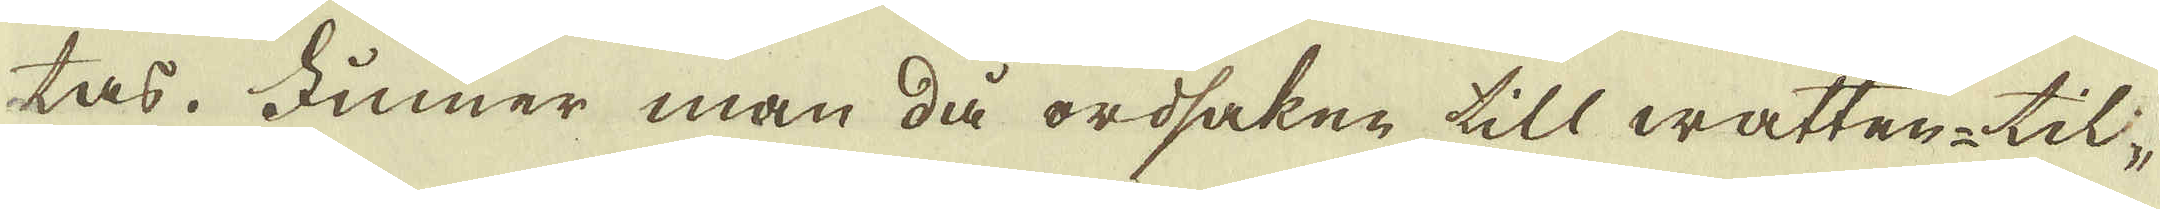tas. Finner man då ordsaken till watten-til-
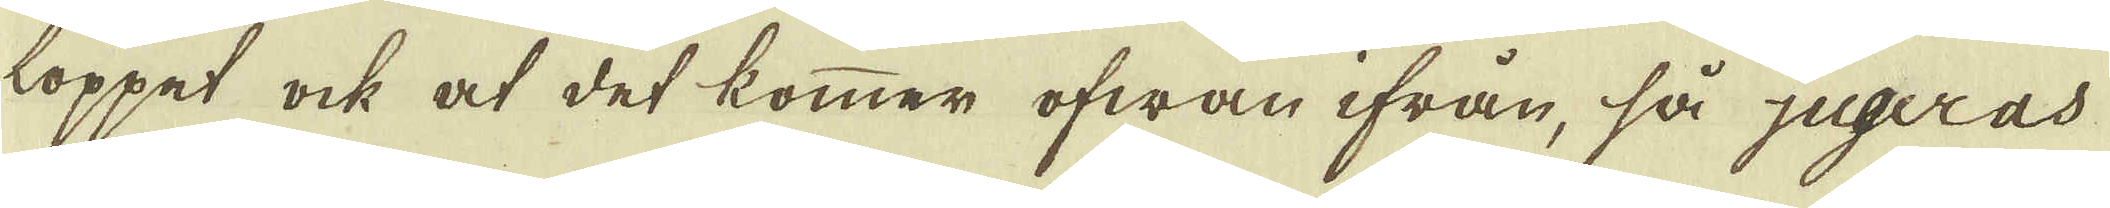loppet ock at det kommer ofwan ifrån, så jugeras
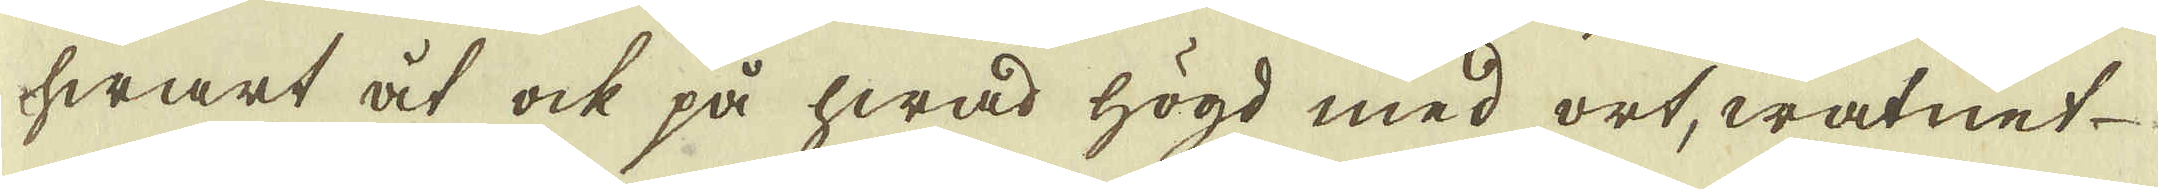hwart åt ock på hwad högd med ort, watnet
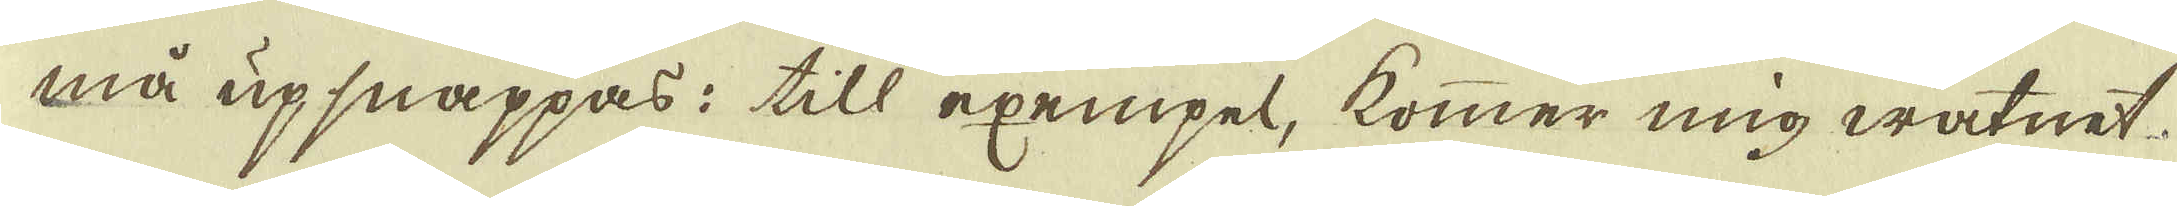må upsnappas: till exempel, kommer mig watnet
